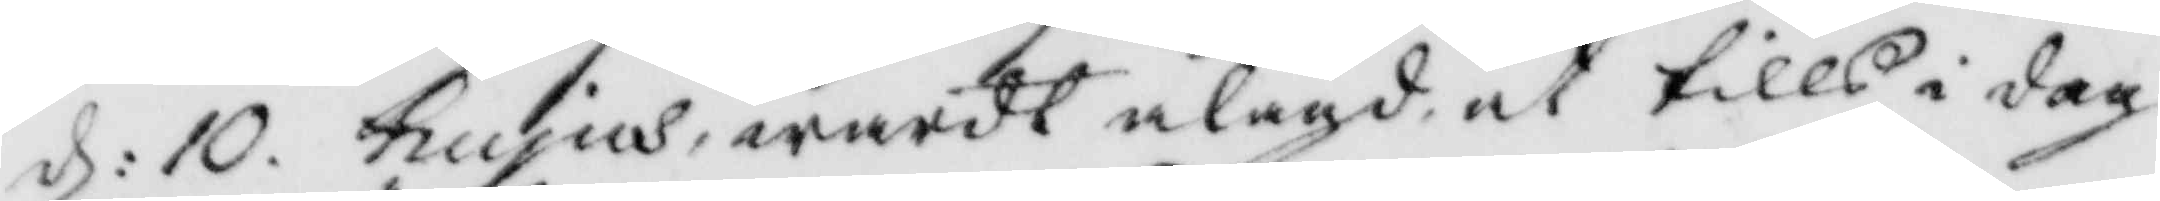d: 10 hujus warit ålagd at tills i dag
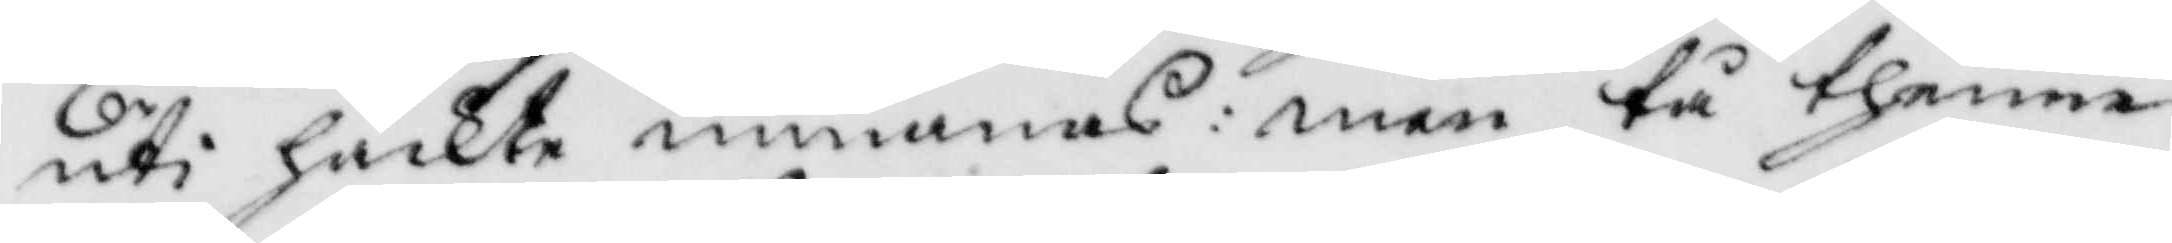uti häckte inmanas:  men tå thenne
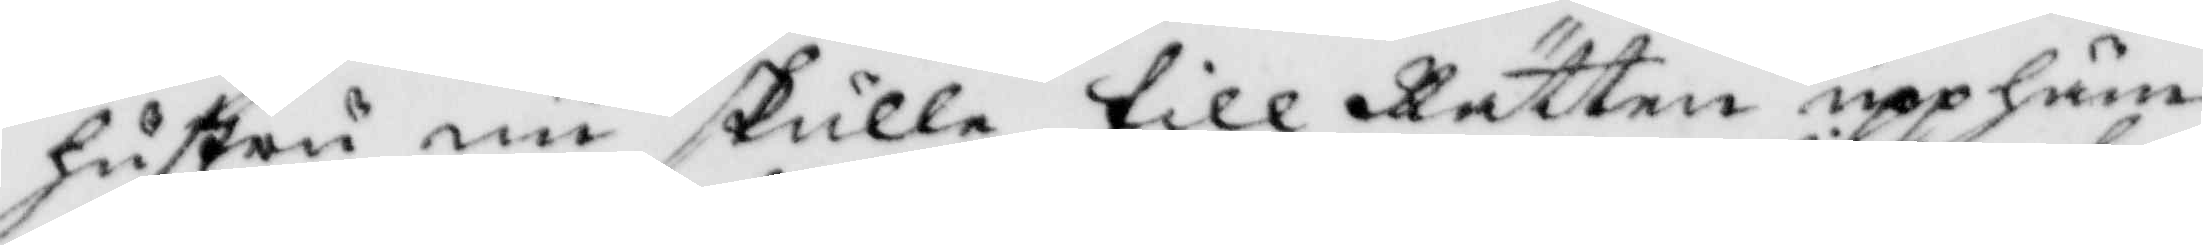hustru nu skulle till Rätten upphäm¬
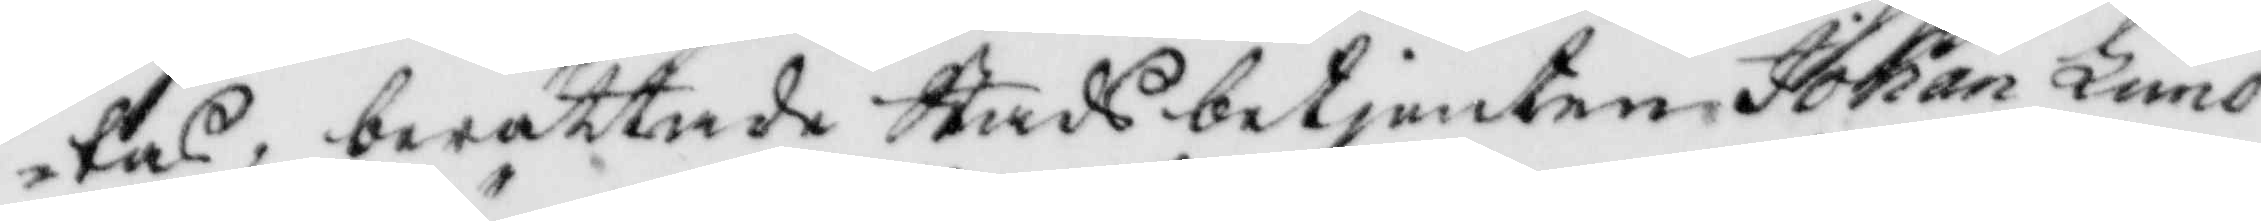tas, berättade Stadsbetjenten Johan Lund¬
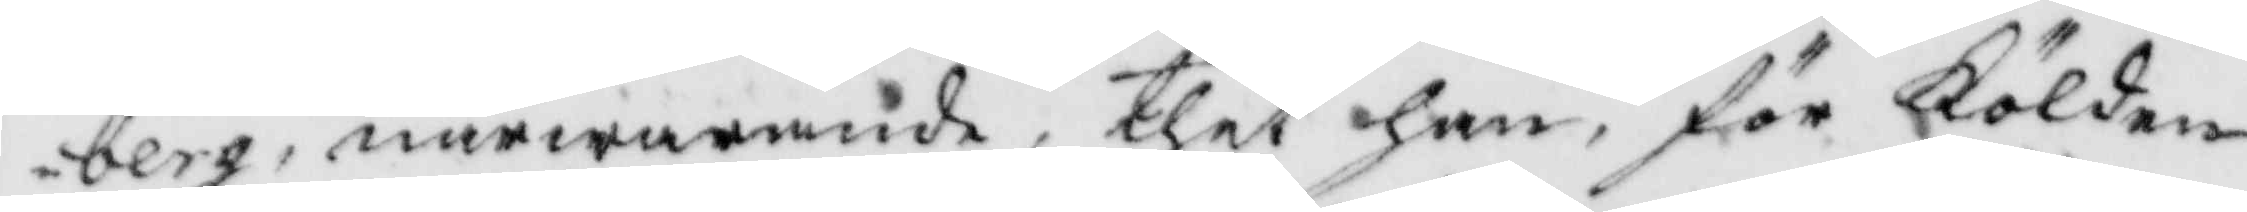berg, närwarande, thet han, för Kölden
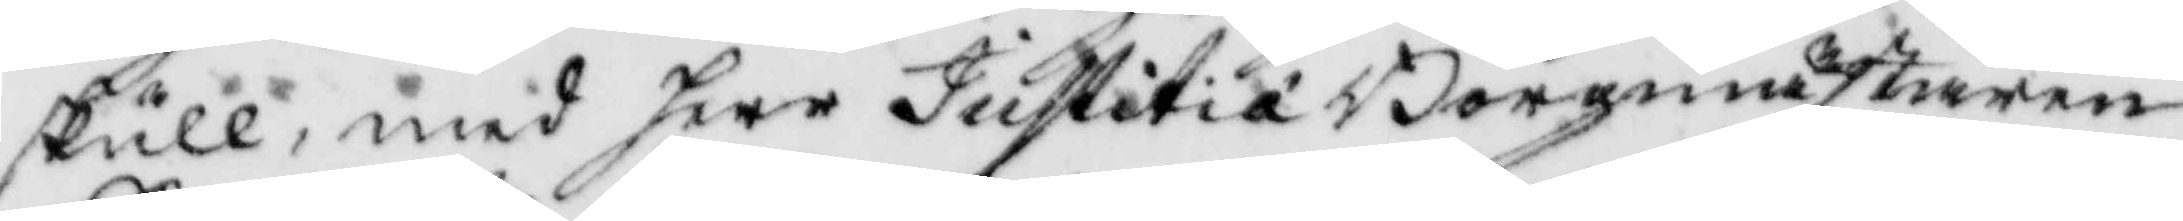skull, med herr JustitiaBorgmästaren
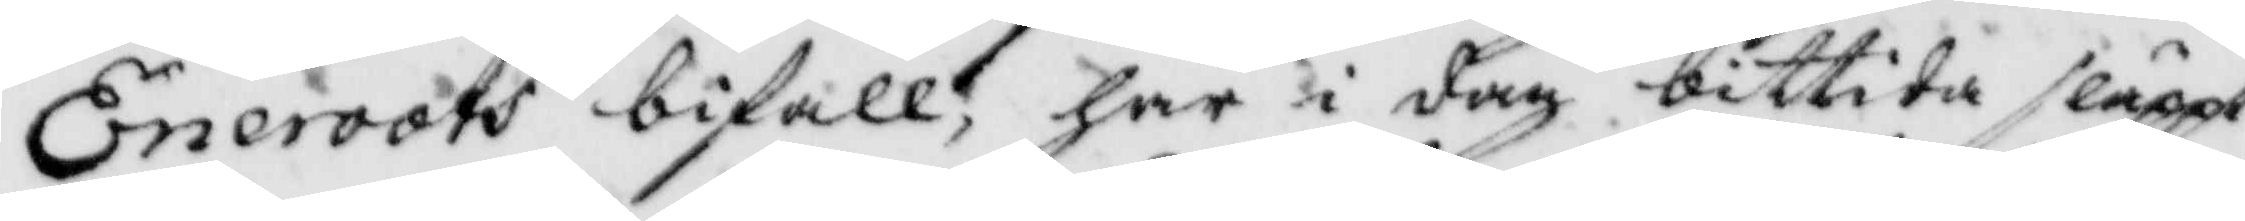Eneroots bifall, har i dag bittida släppt
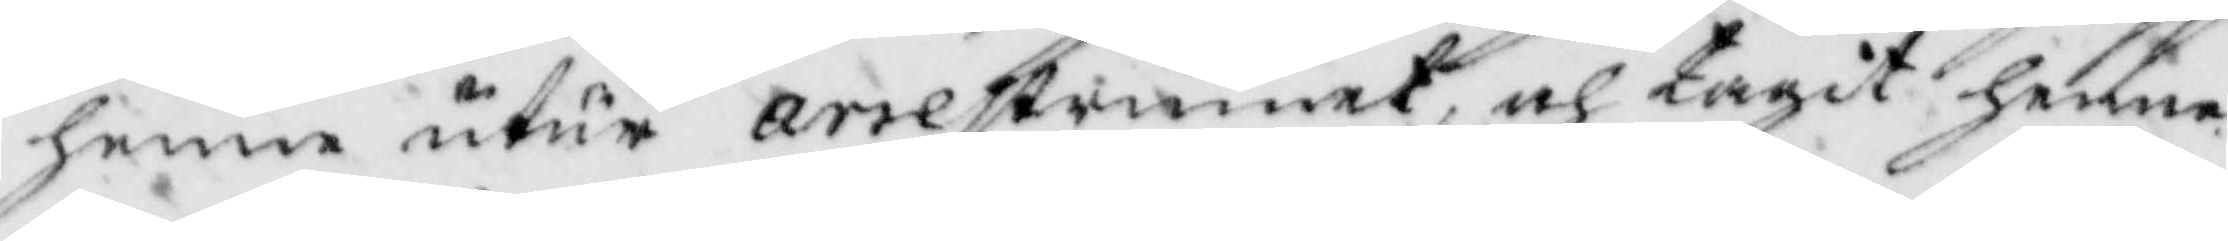henne utur arrestrumet, och tagit henne
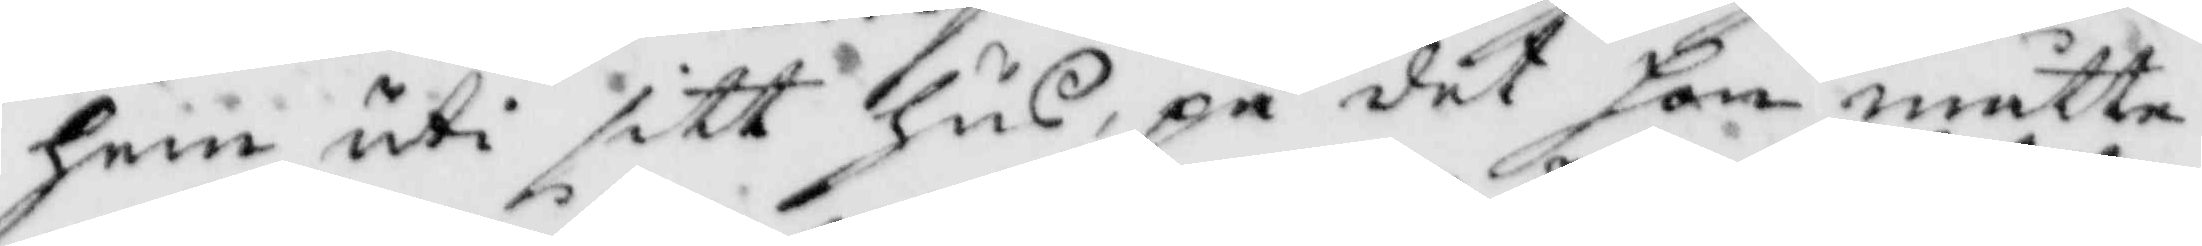hem uti sitt hus, på det hon måtte
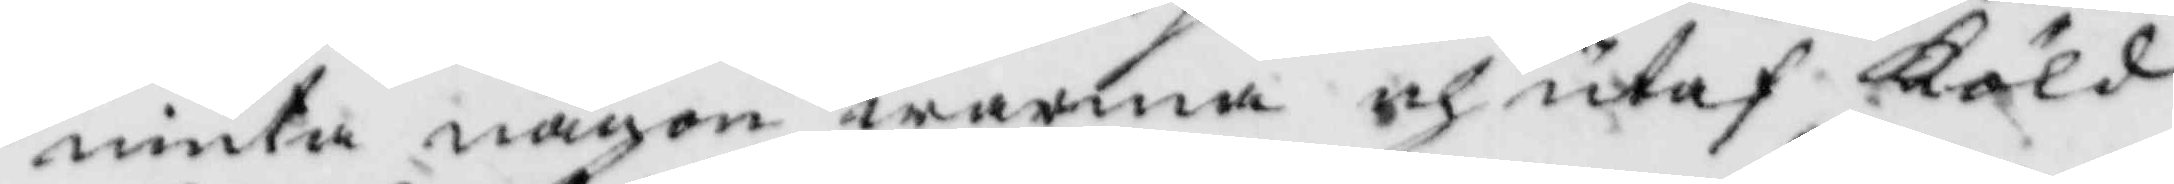niuta någon warma och utaf Köld
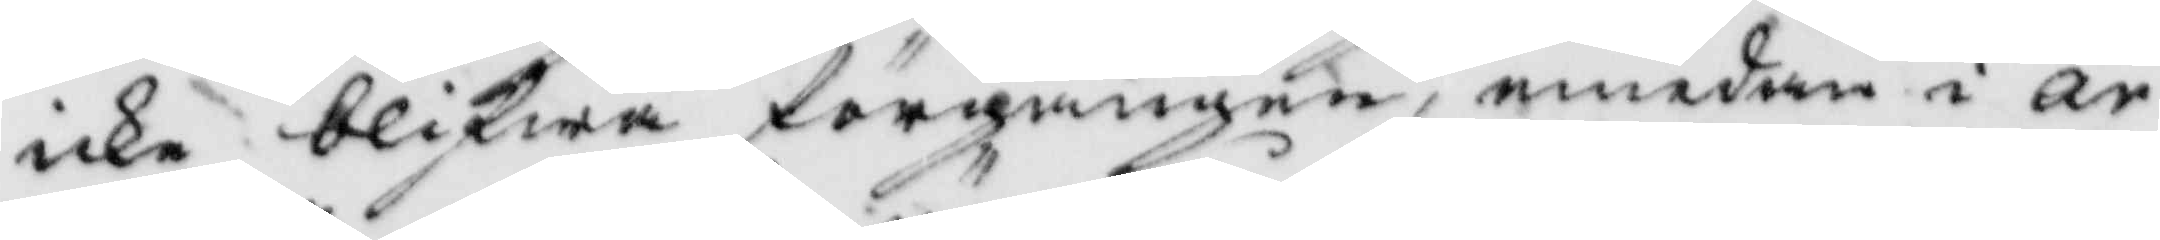icke blifwa förgången, emedan i ar¬
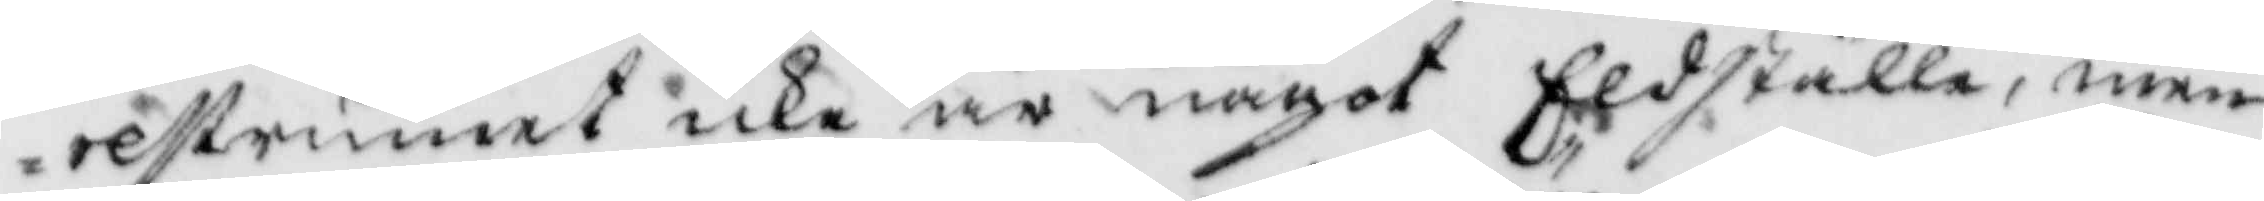restrumet icke är något Eldställe, men
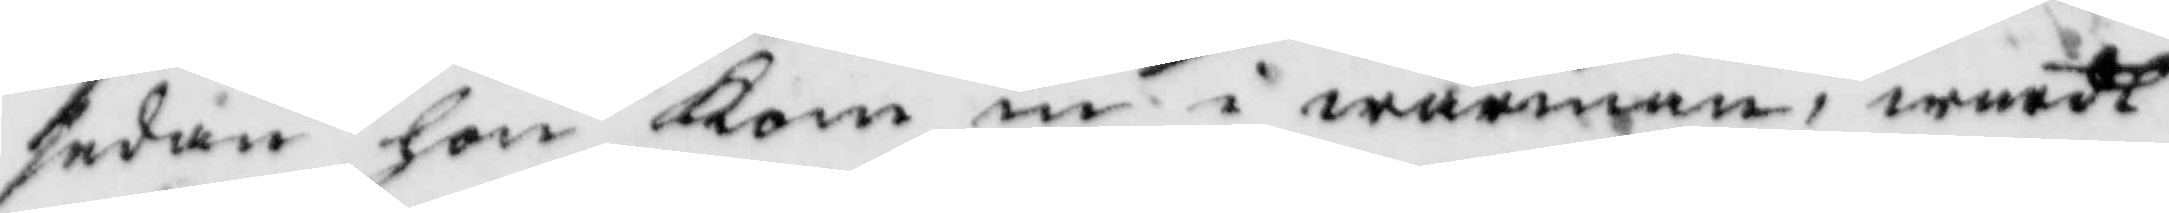sedan hon kom in i wärmen, wardt
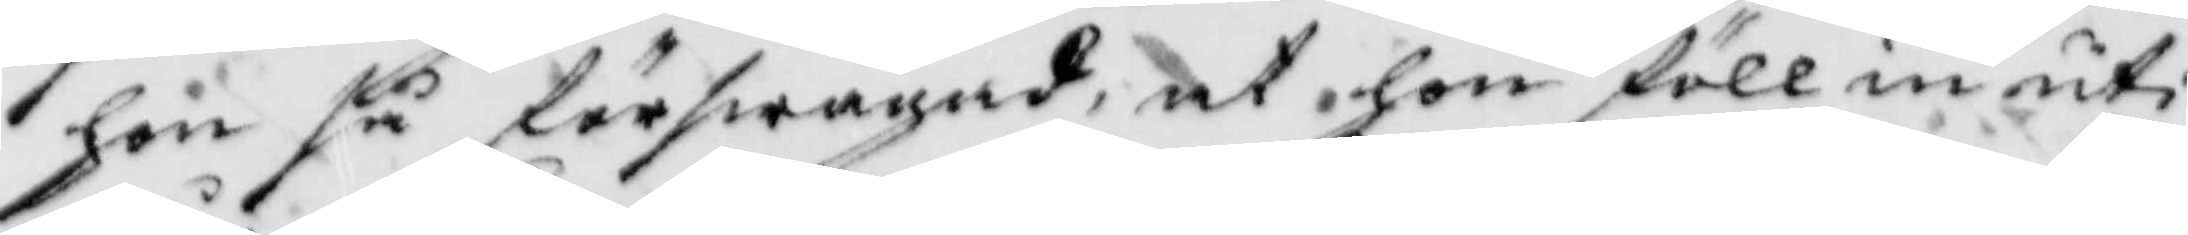hon så förswagad, at hon föll in uti
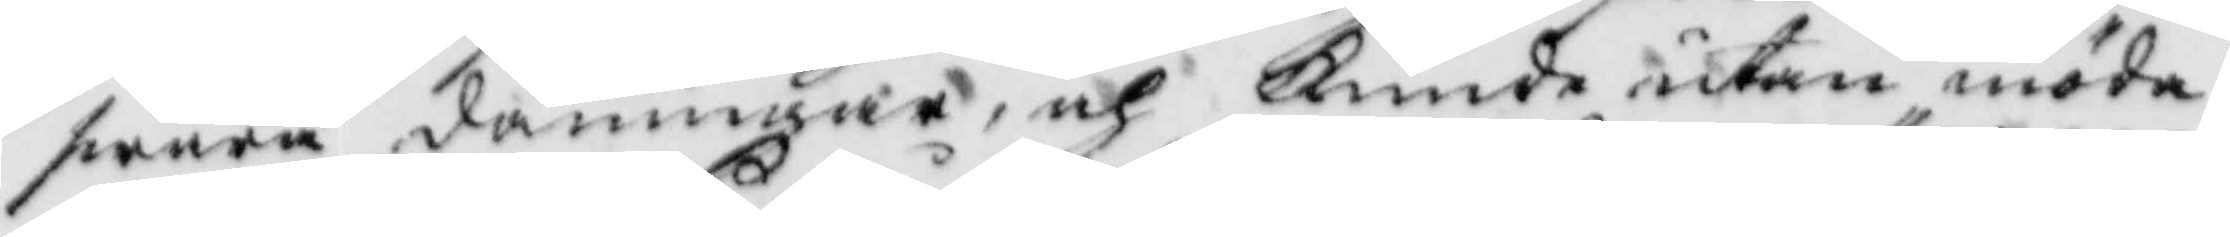swåra dåningar, och kunde utan möda
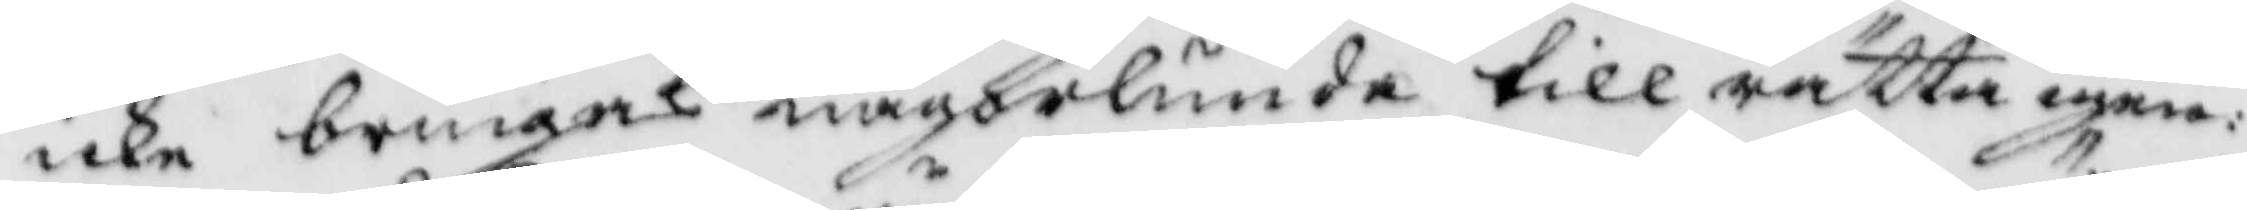icke bringas någorlunda till rätta igen:
